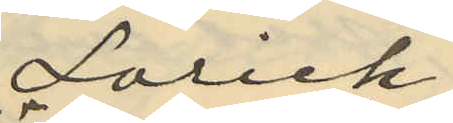Lorich
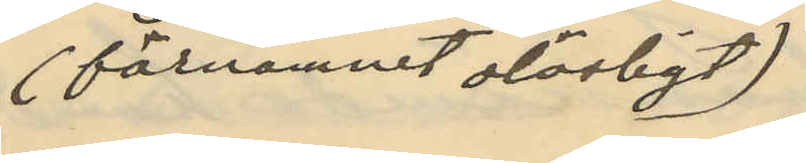(förnamnet oläsligt)
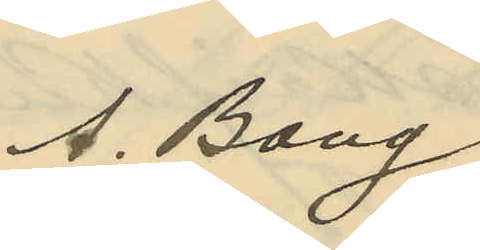A. Bang
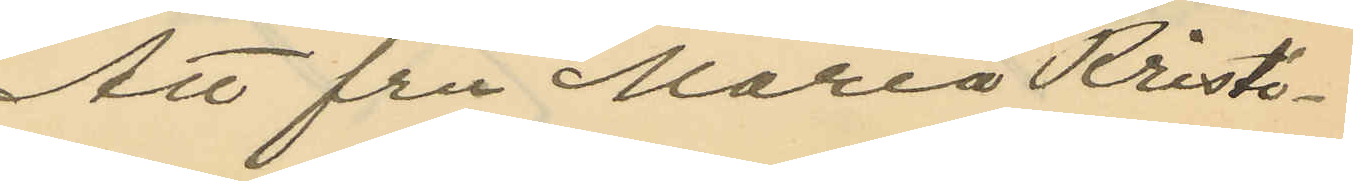Att fru Maria Kristi¬
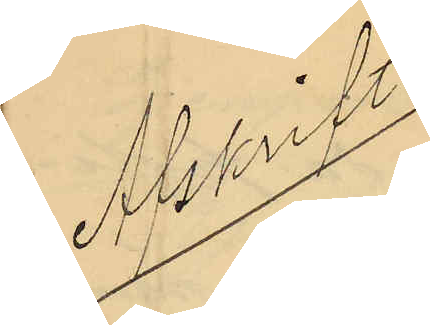Afskrift
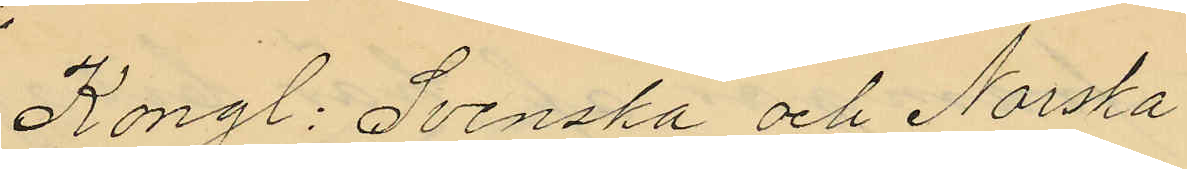Kongl: Svenska och Norska
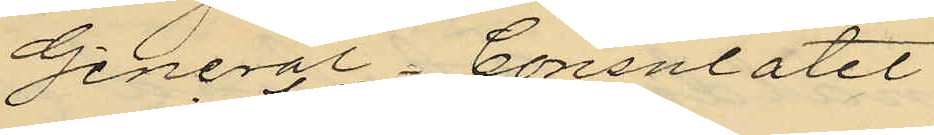General Consulatet
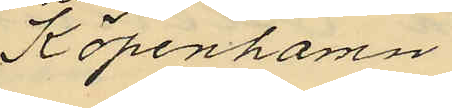i Köpenhamn
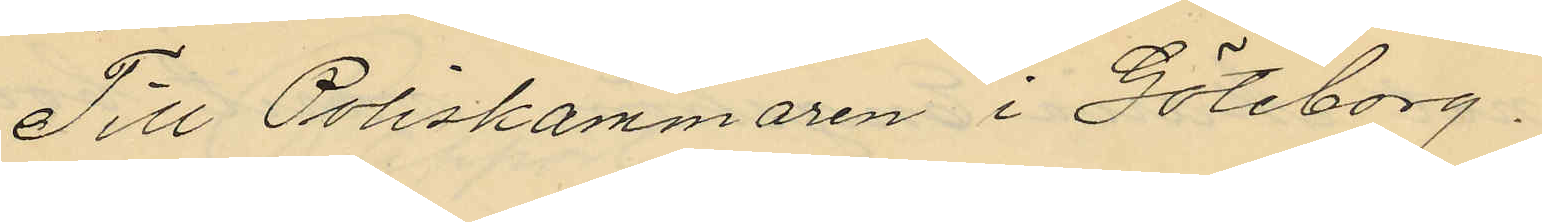Till Poliskammaren i Göteborg.
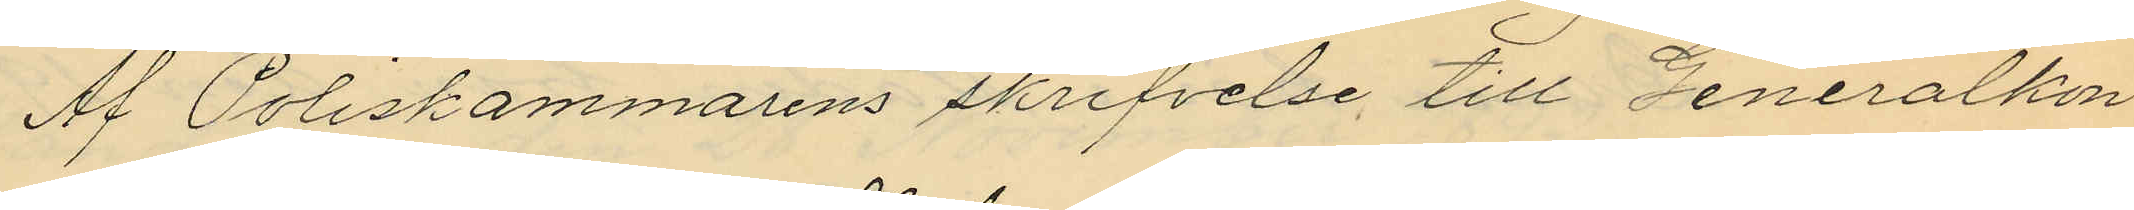Af Poliskammarens skrifvelse till Generalkon
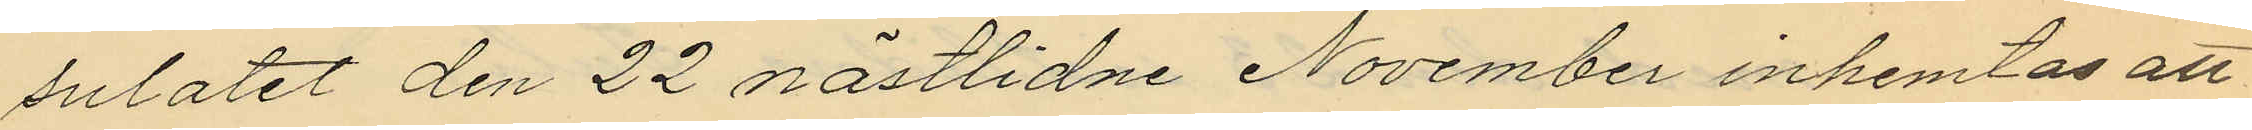sulatet den 22 nästlidne November inhemtas att
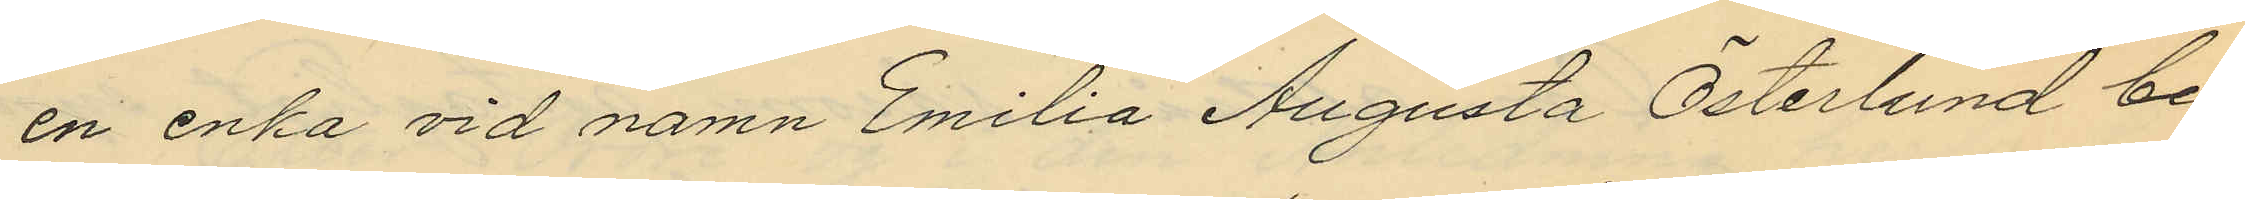en enka vid namn Emilia Augusta Österlund be¬
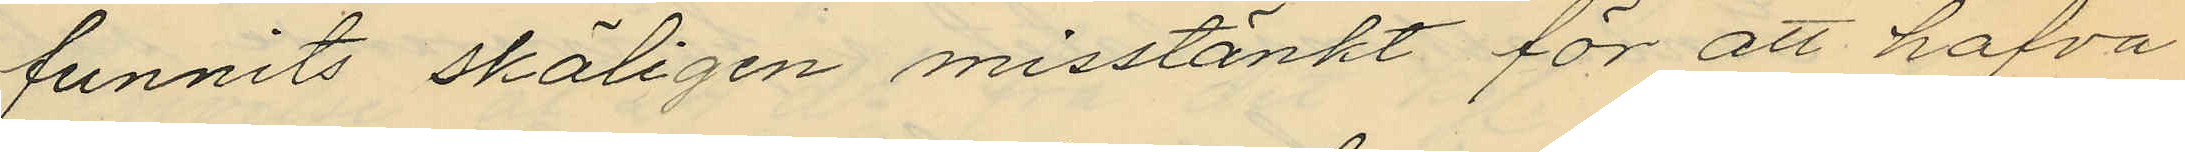funnits skäligen misstänkt för att hafva
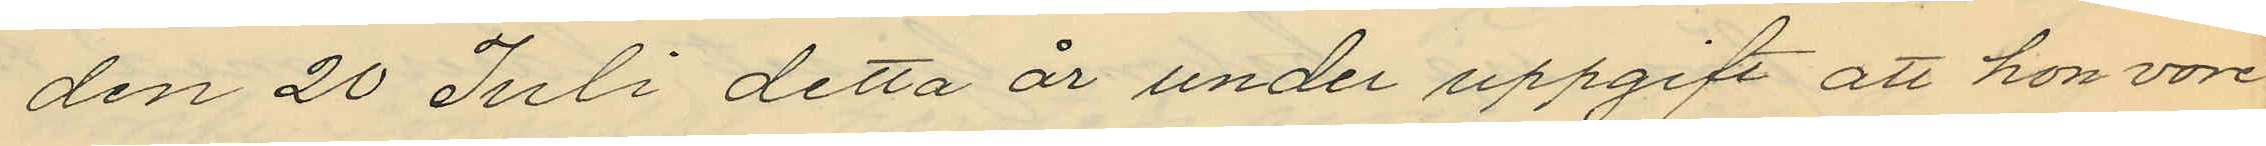den 20 Juli detta år under uppgift att hon vore
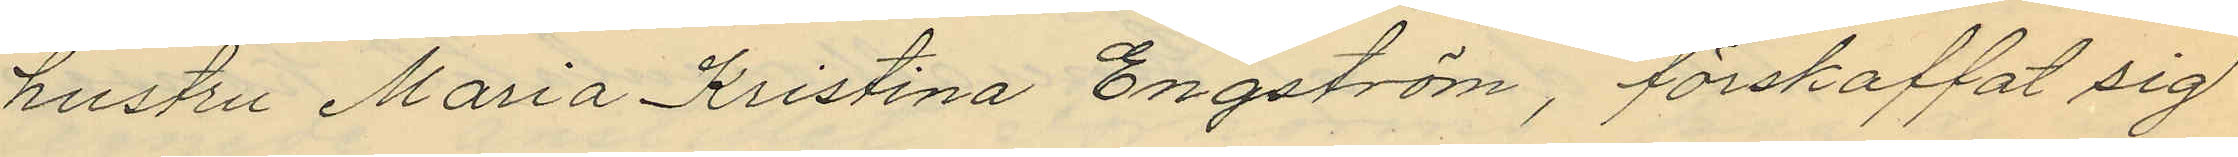hustru Maria Kristina Engström, förskaffat sig
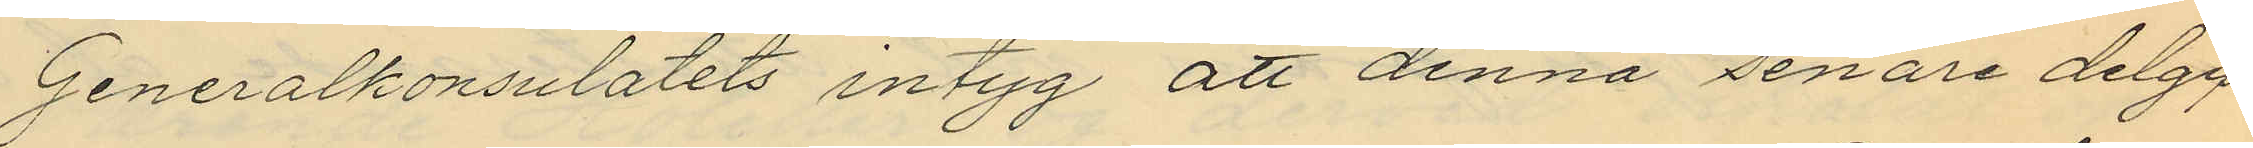Generalkonsulatets intyg att denna senare delgif¬
